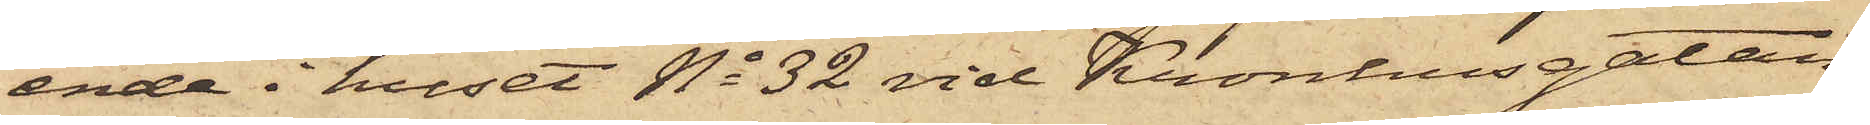ende i huset No 32 vid Kronhusgatan,
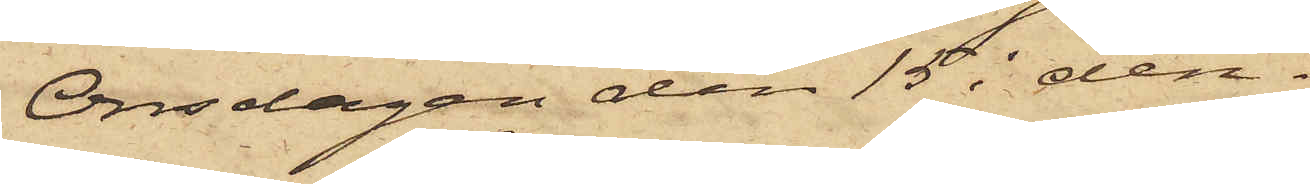Onsdagen den 15 i den¬
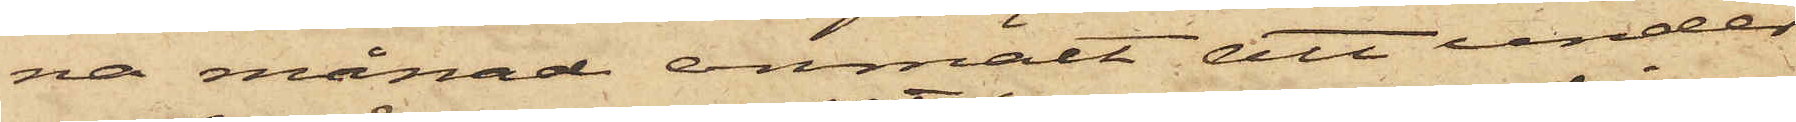na månad anmält att under
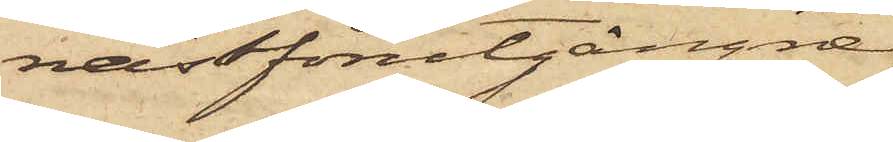nästförutgångne
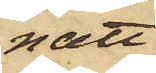natt
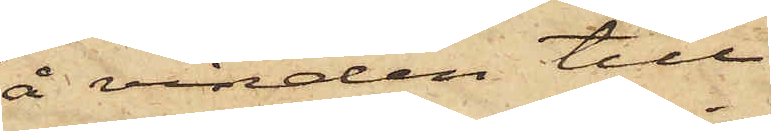å vinden till
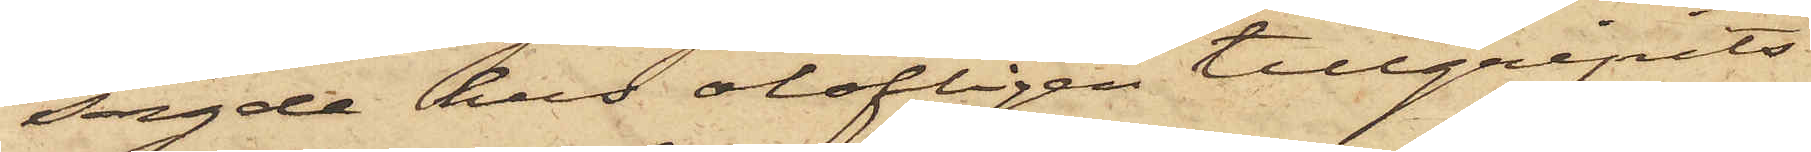sagde hus olofligen tillgripits
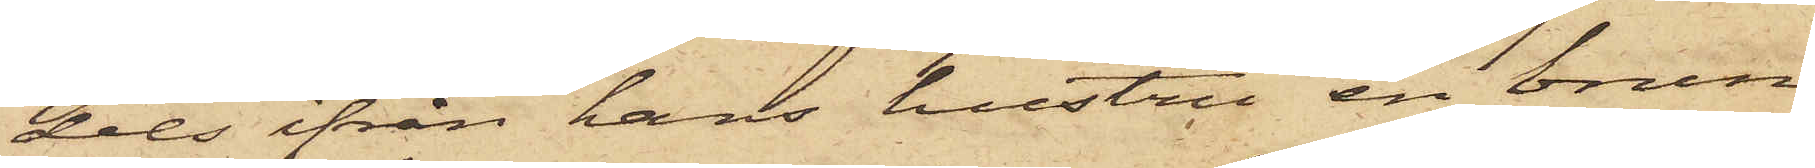dels från hans hustru en brun
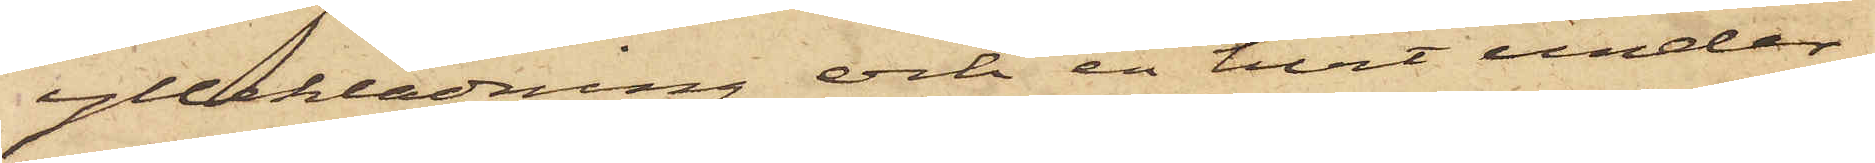ylleklädning och en hvit under¬
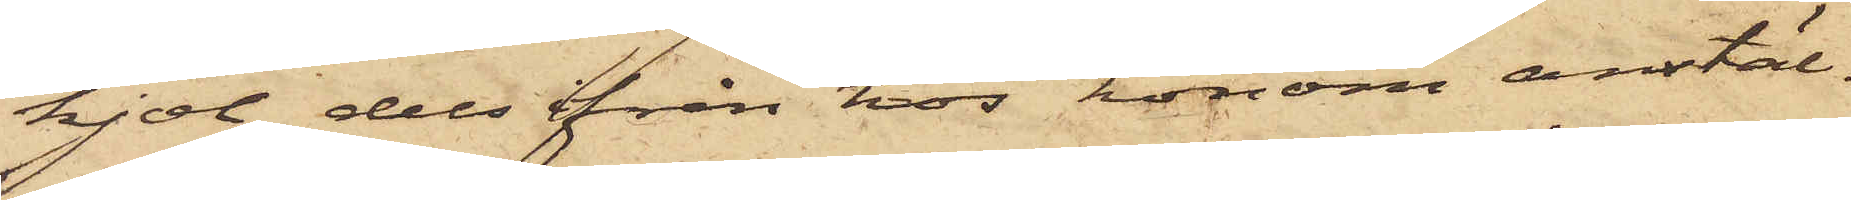kjol, dels från hos honom anstäl¬
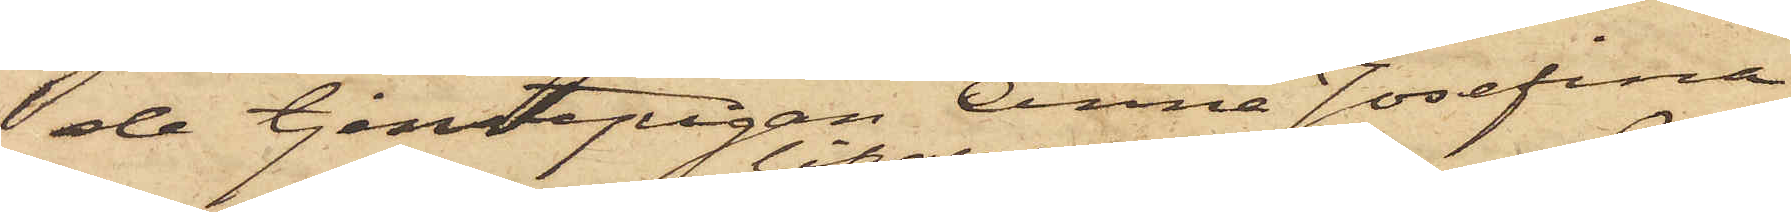de tjenstepigan Anna Josefina
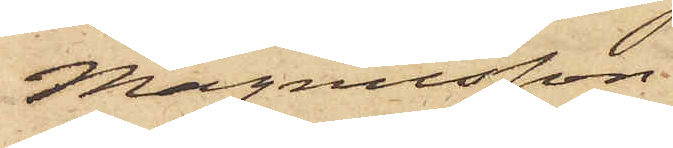Magnusson
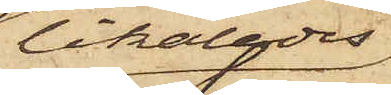likaledes
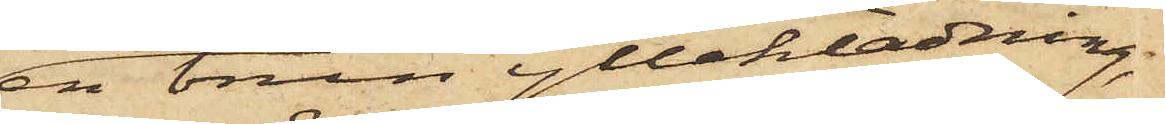en brun ylleklädning,
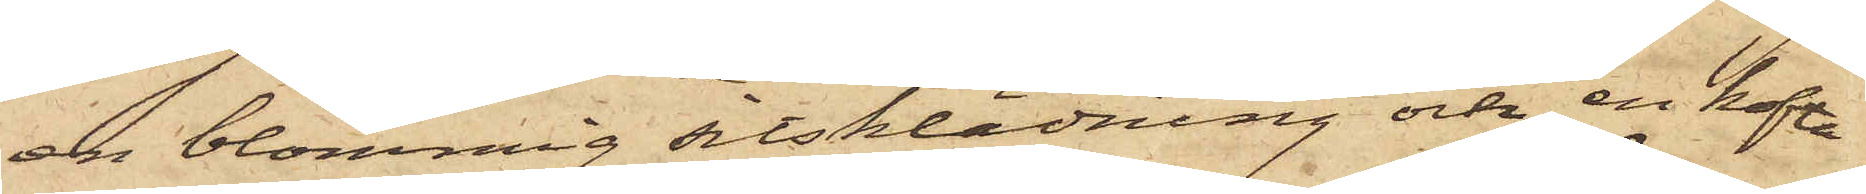en blommig sitsklädning och en kofta
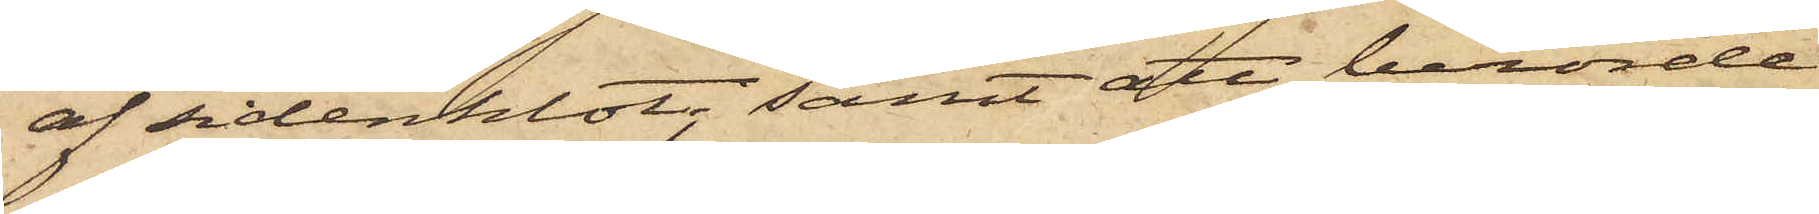af sidenklot, samt att berörde
